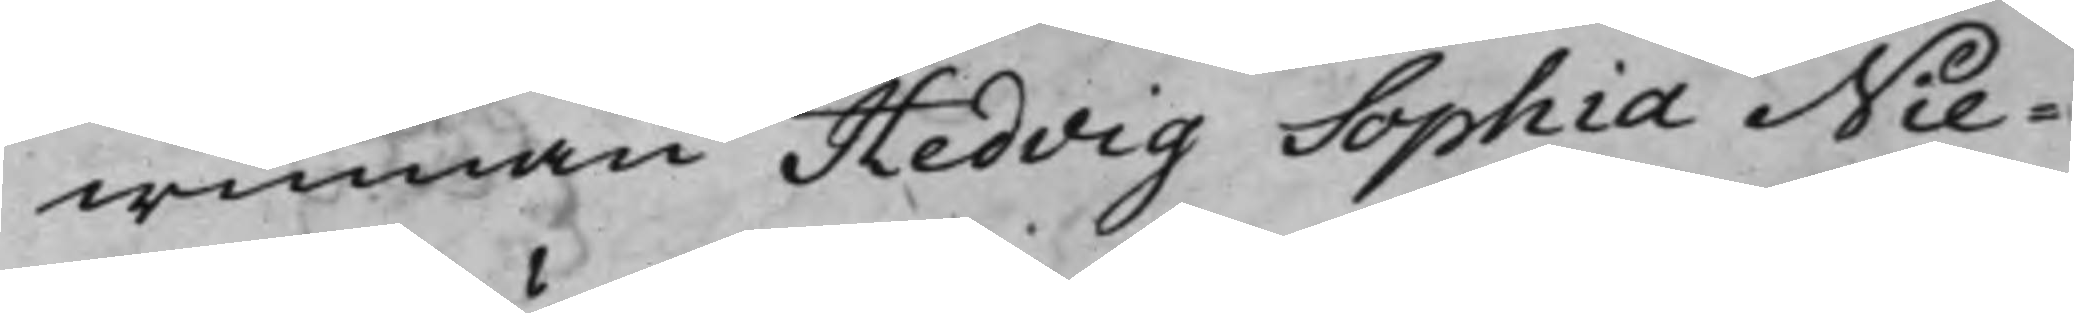winnan Hedvig Sophia Nie¬
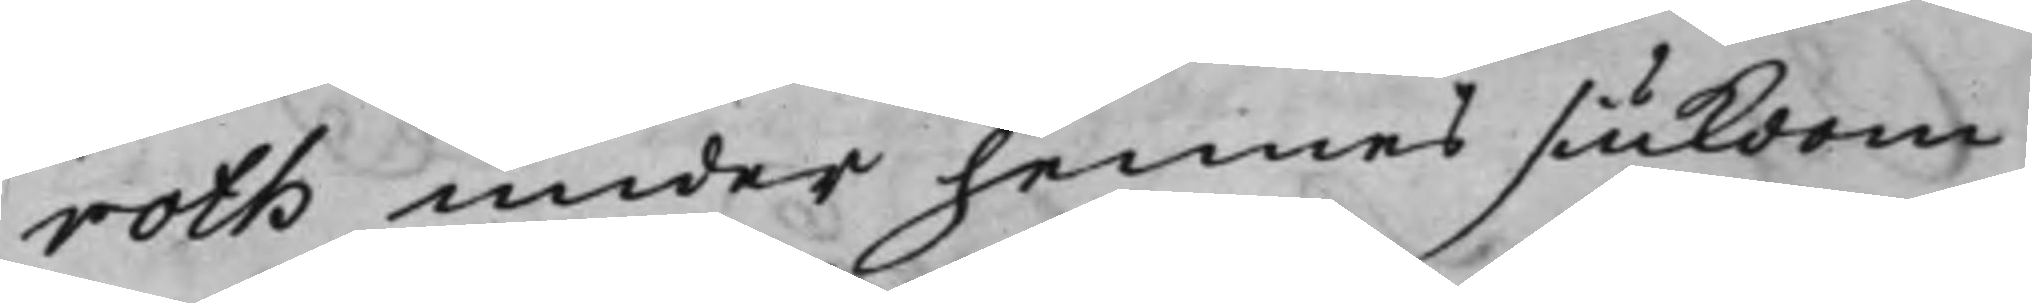roth under hennes siukdom
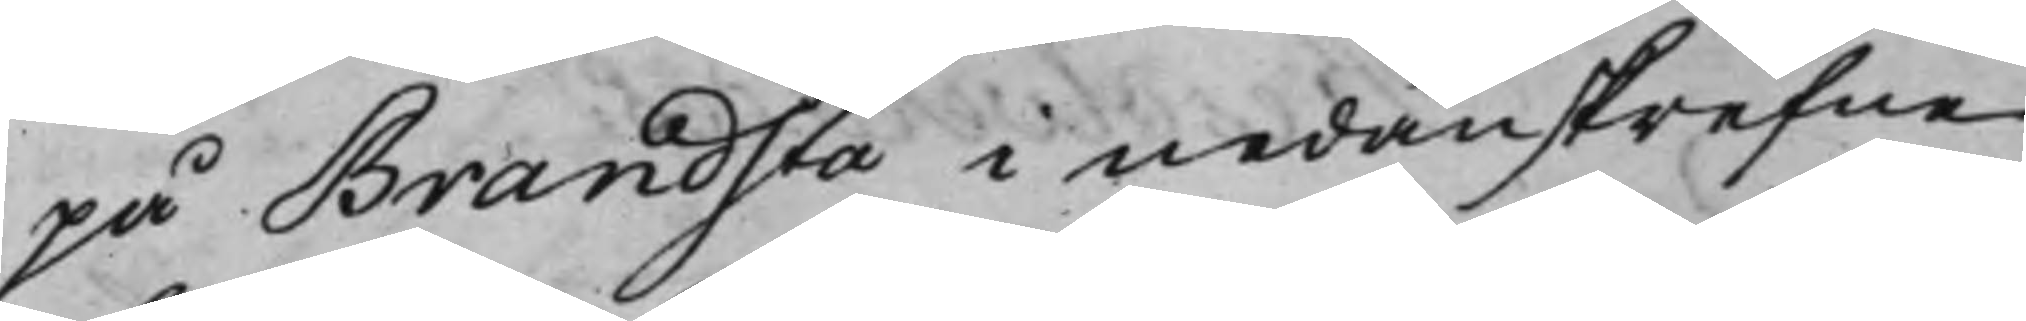på Brandsta i nedanskrefne
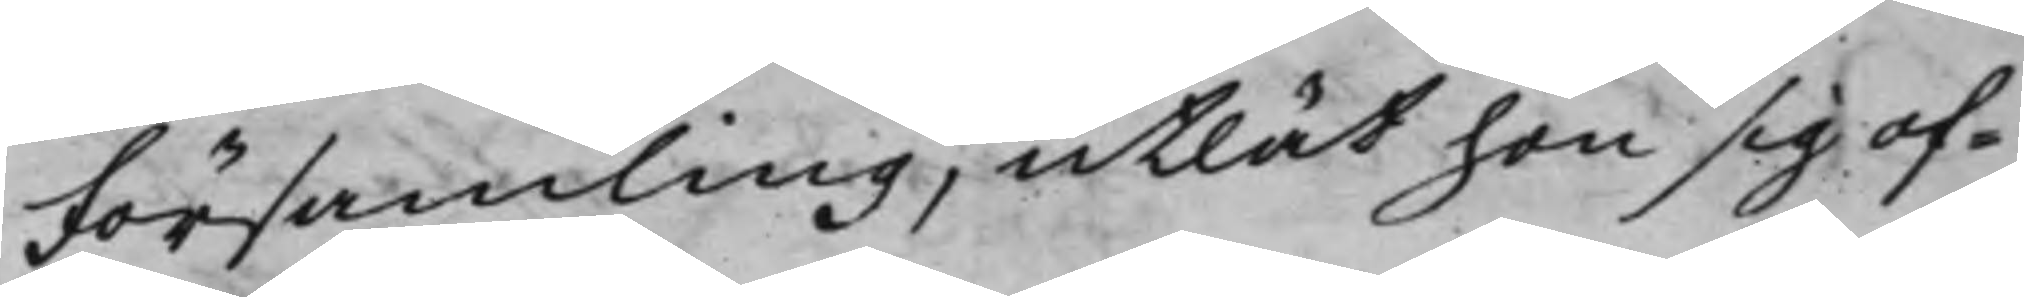Församling, utlät hon sig of¬
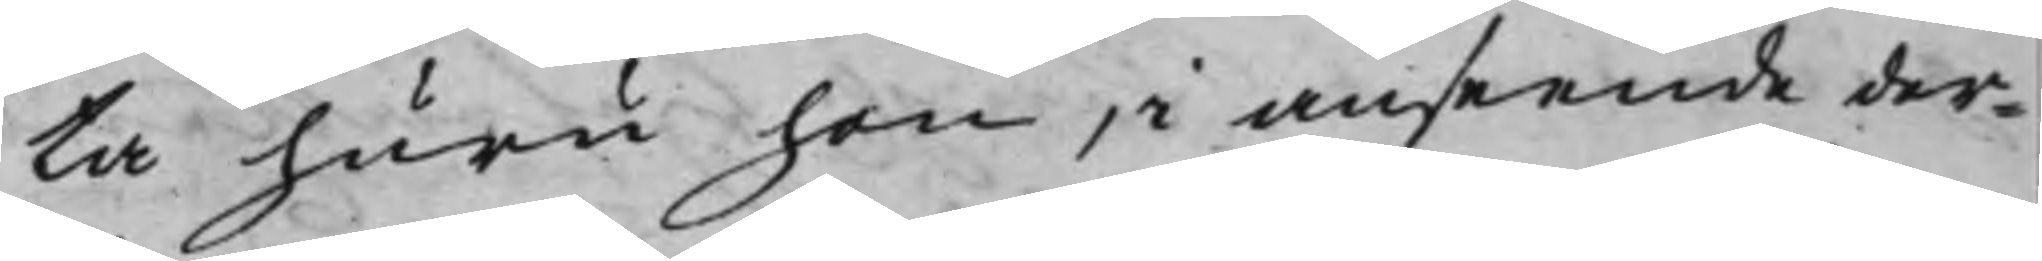ta huru hon, i anseende der¬
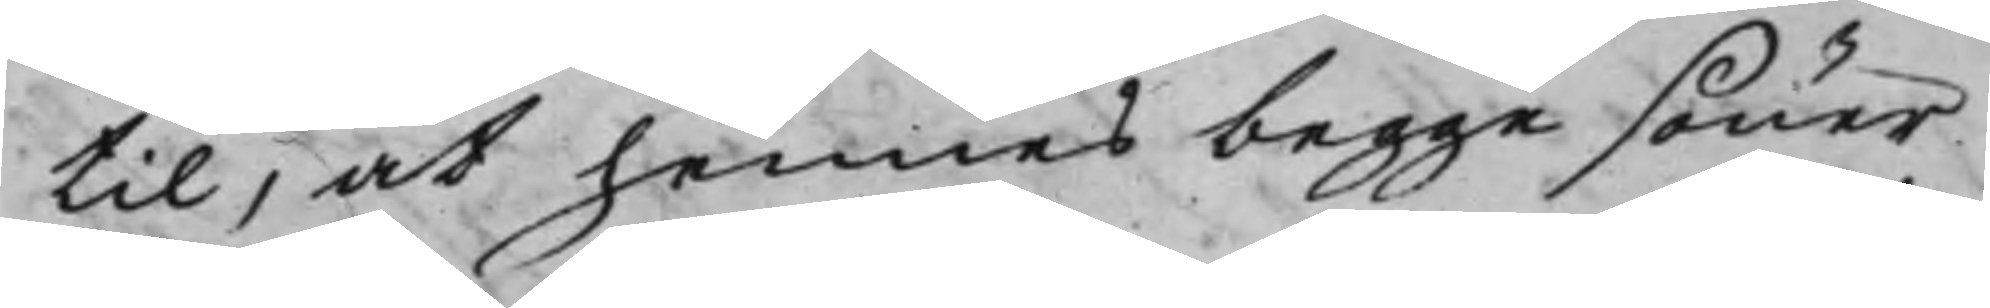til, at hennes begge söner
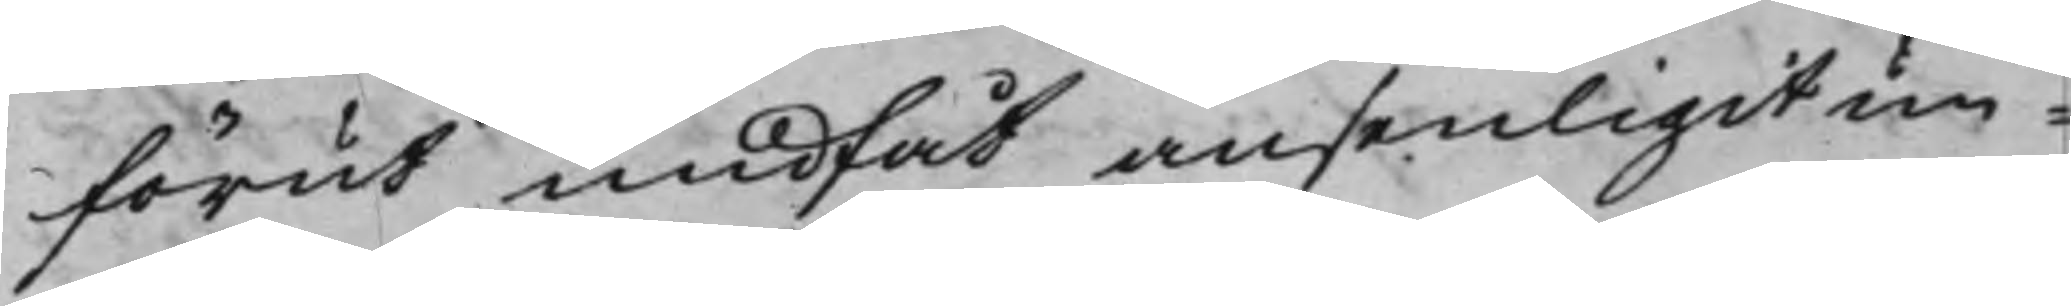förut undfåt ansenligit un¬
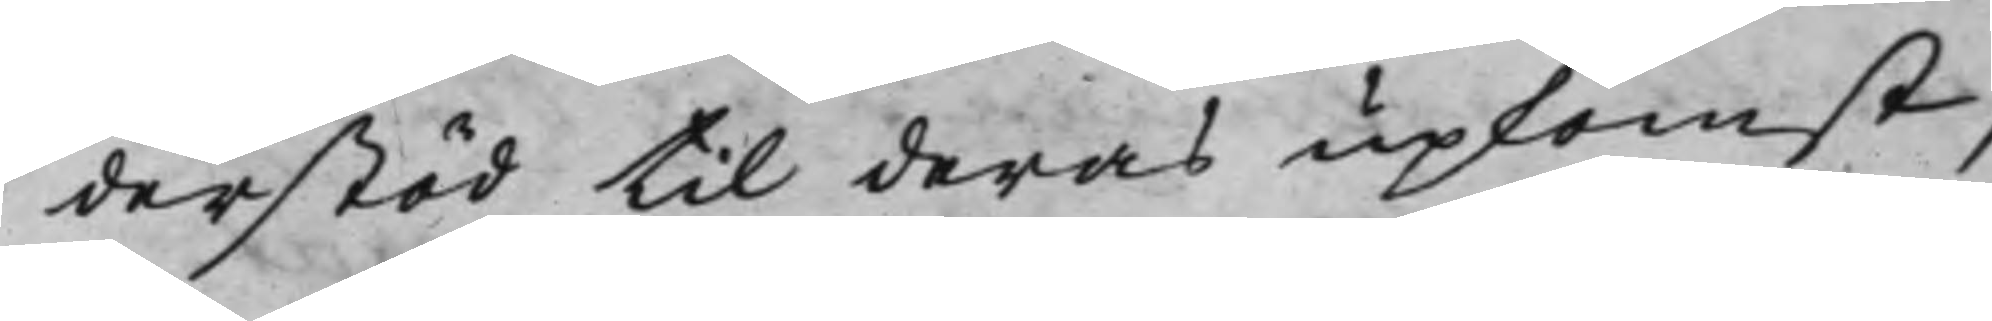derstöd til deras upkomst,
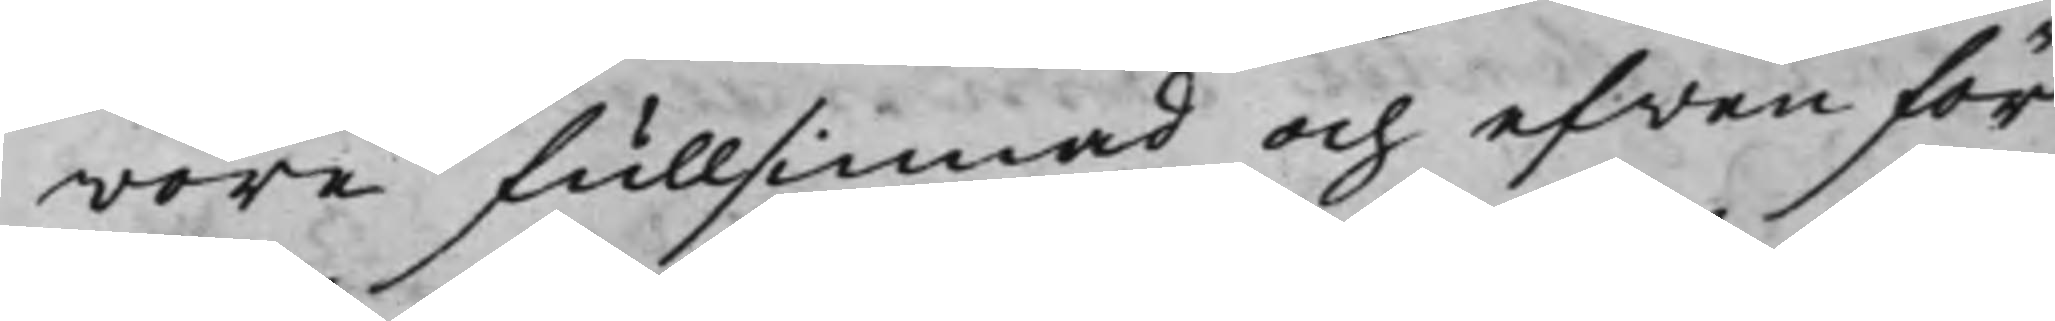wore fullsinnad och efven för
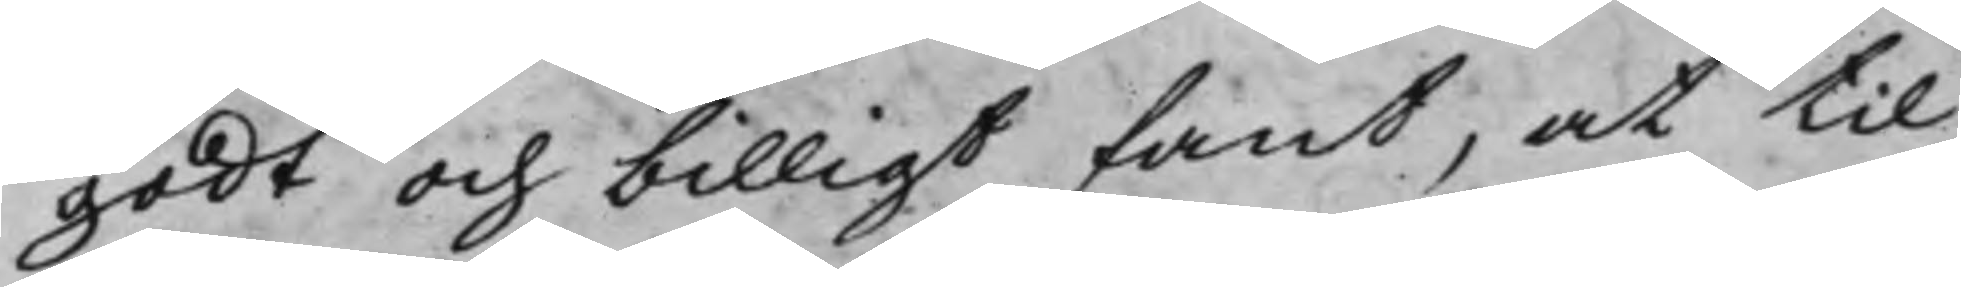godt och billigt fant, at til
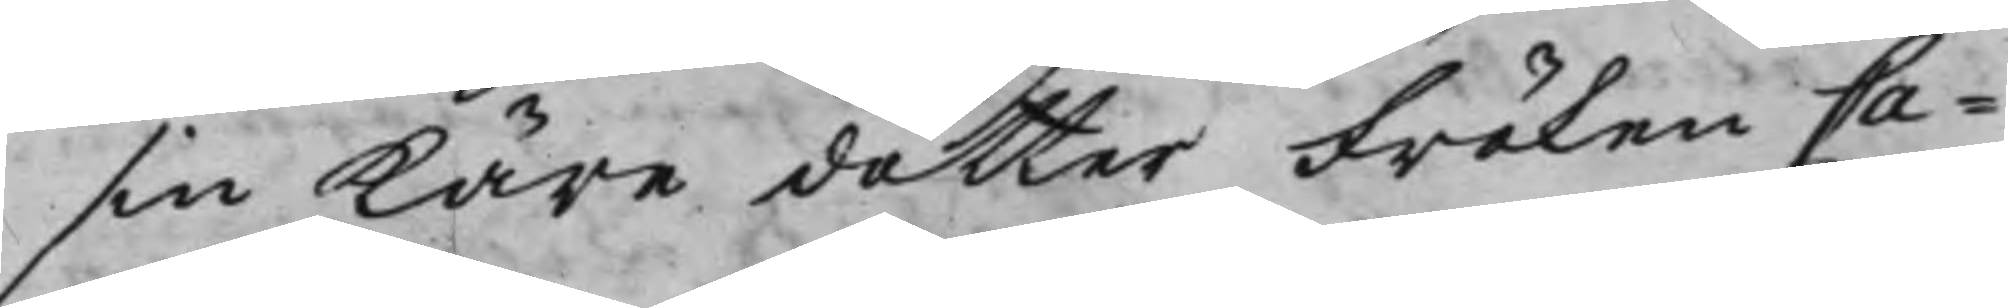sin Käre dotter Fröken Ca¬
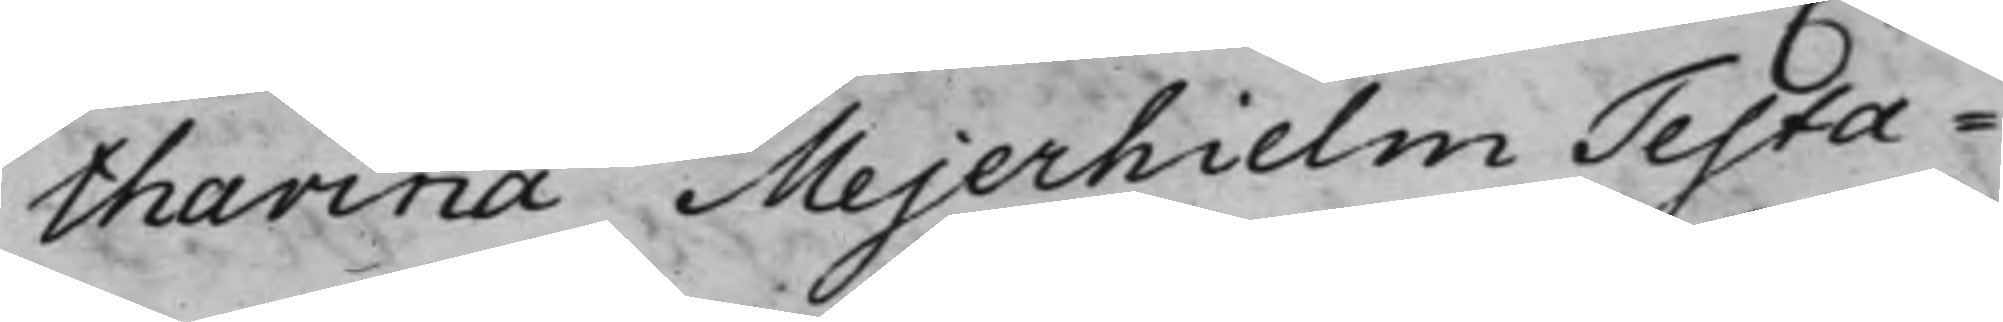tharina Mejerhielm Testa¬
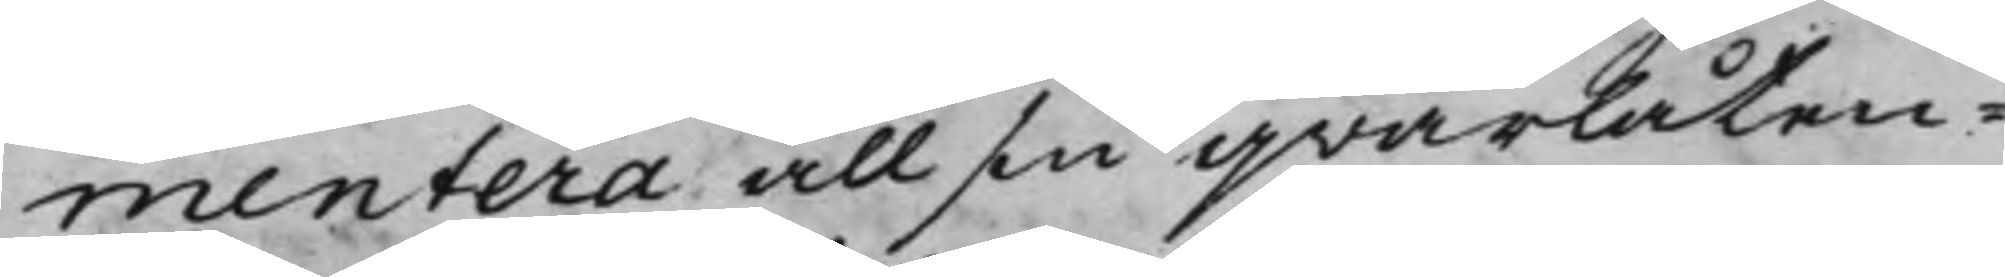mentera all sin qvarlåten¬
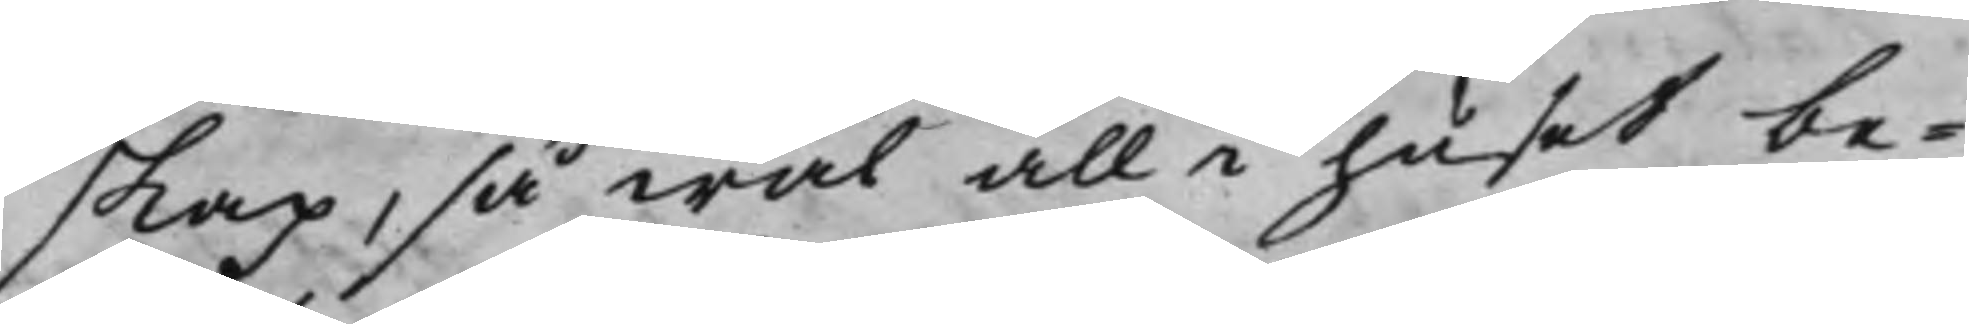skap, så wäl all i huset be¬
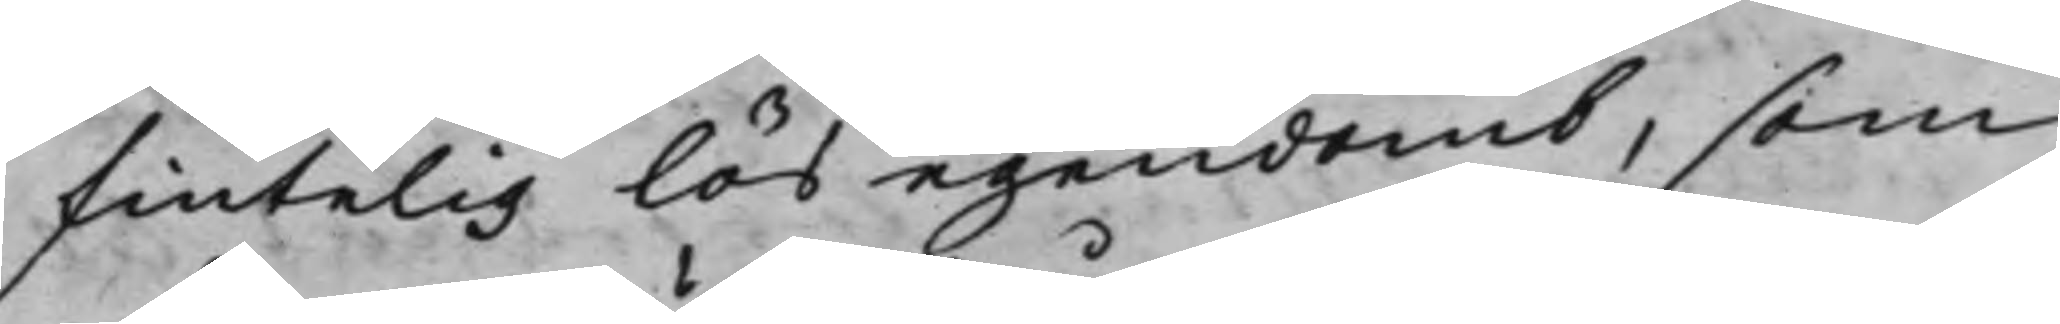fintelig lös egendomb, som
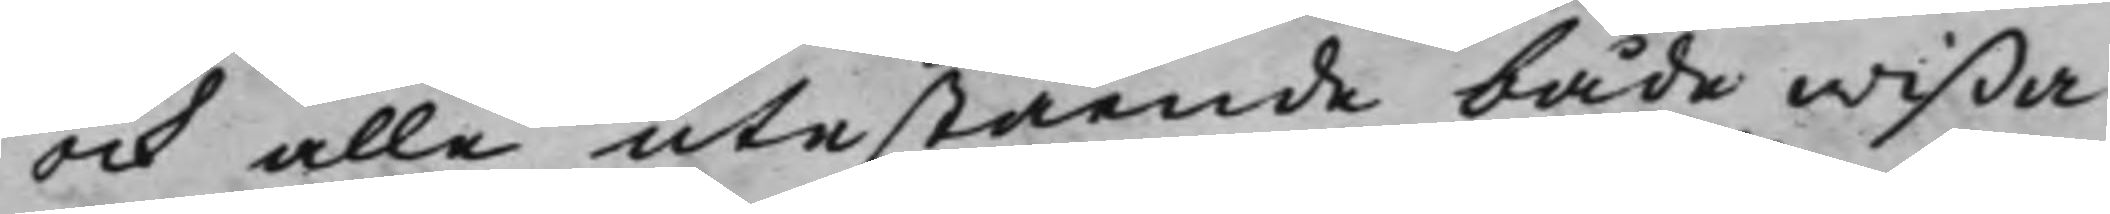ock allle utestående både wißa
